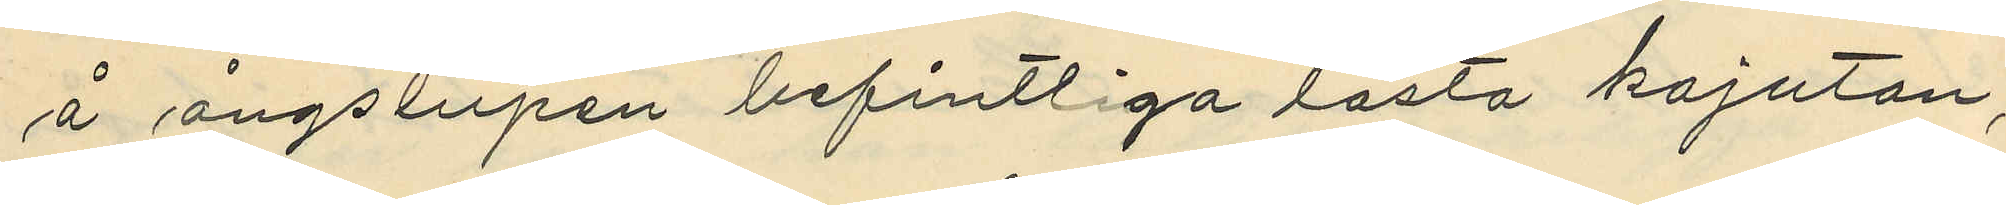å ångslupen befintliga låsta kajutan,
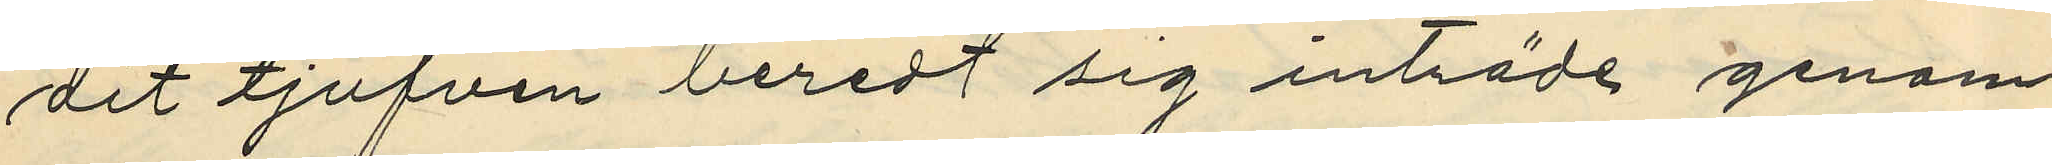dit tjufven beredt sig inträde genom
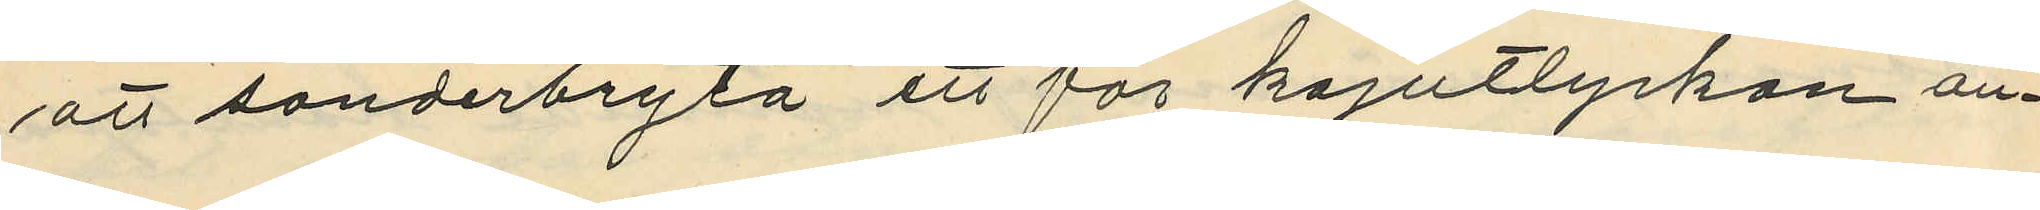att sönderbryta ett för kajutlycken an¬
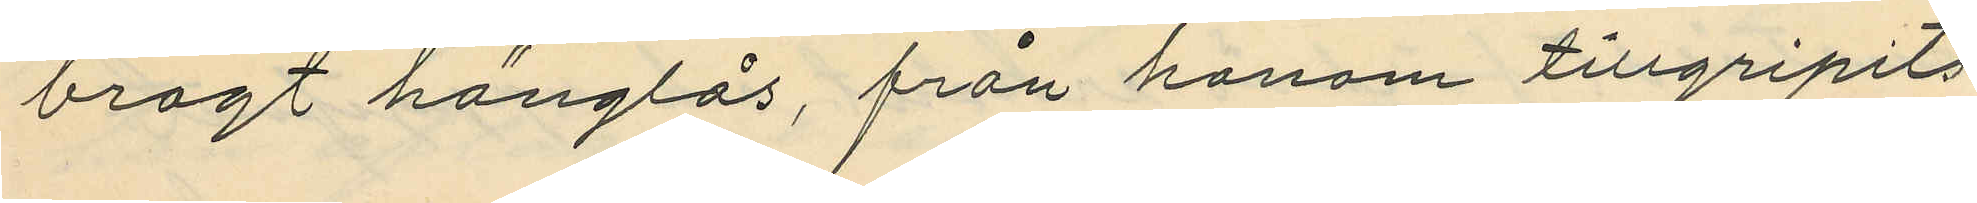bragt hänglås, från honom tillgripits
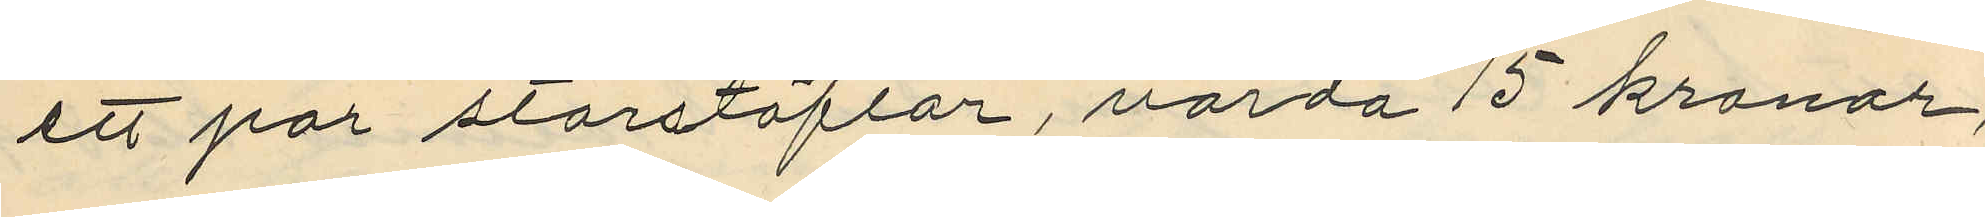ett par storstöflar, värda 15 kronor,
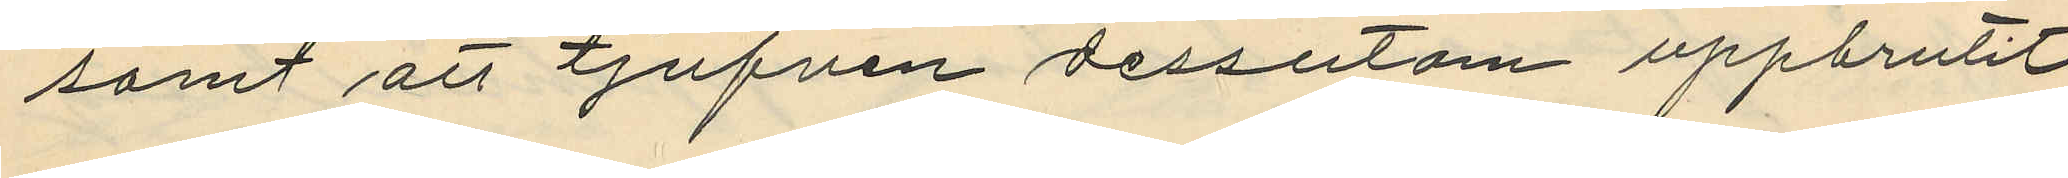samt att tjufven dessutom uppbrutit
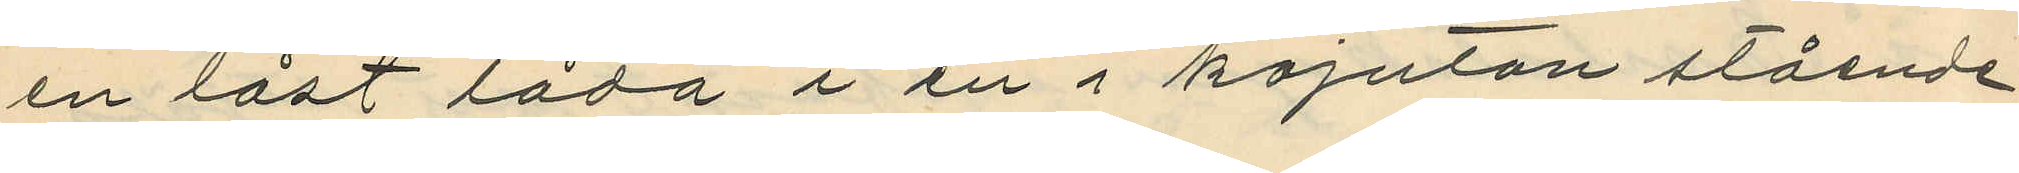en låst låda i en i kajutan stående
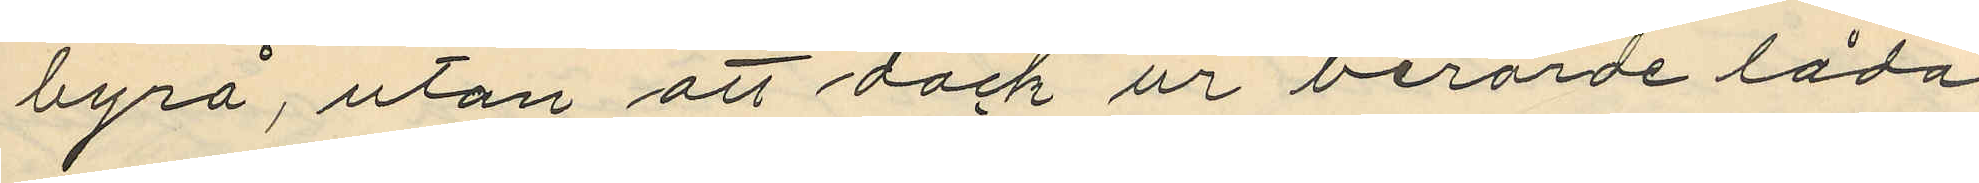byrå, utan att dock ur berörde låda
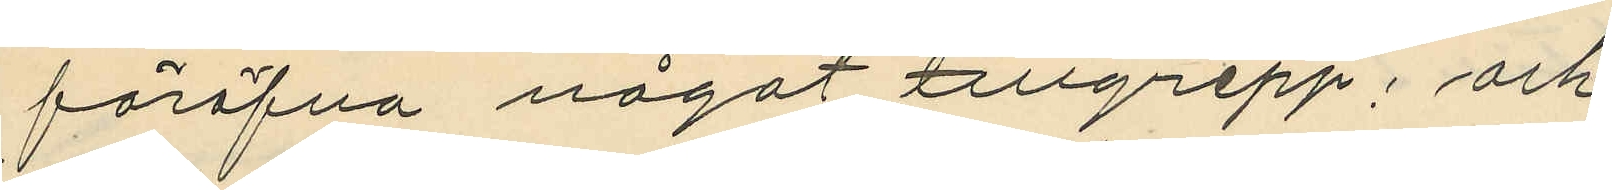föröfva något tillgrepp; och
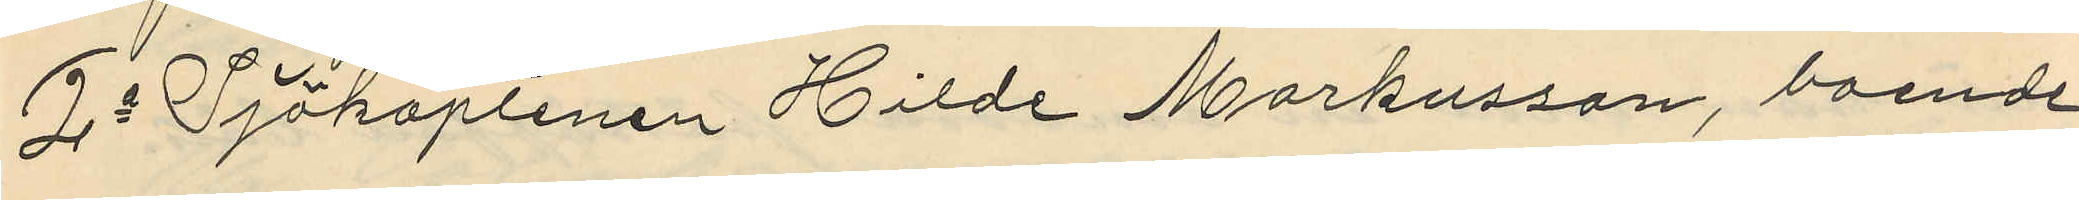2o Sjökaptenen Hilde Markusson, boende
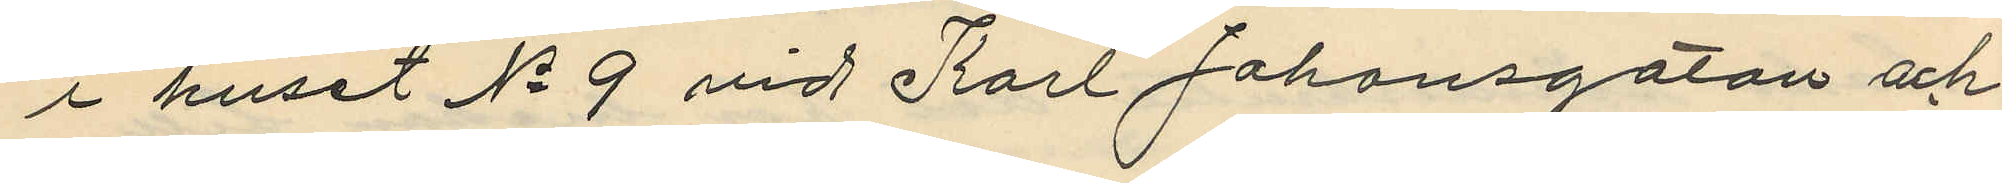i huset No 9 vid Karl Johansgatan och
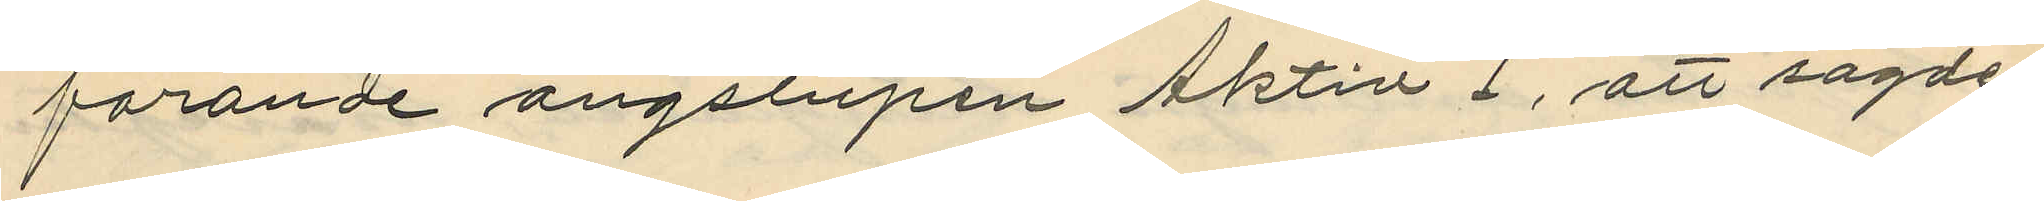förande ångslupen Aktiv I, att sagde
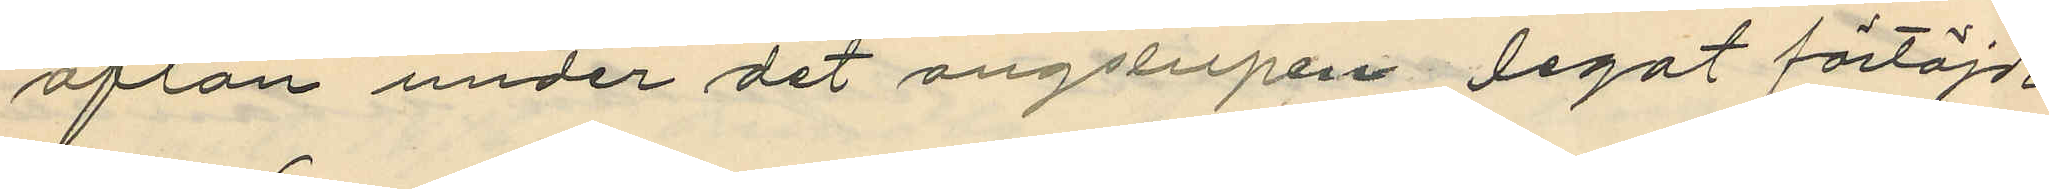afton under det ångslupen legat förtöjd
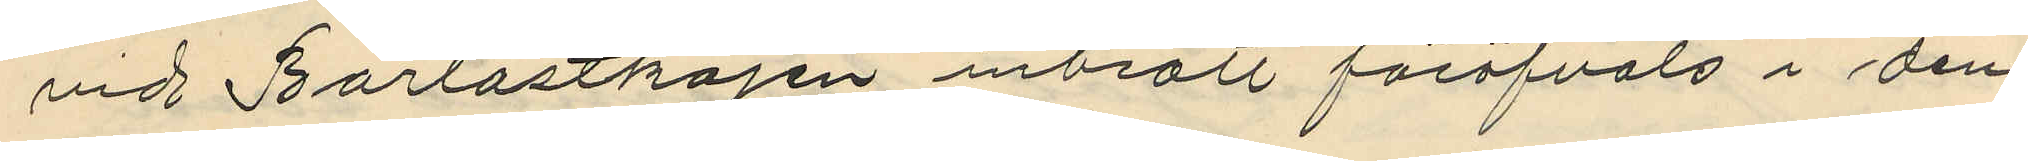vid Barlastkajen inbrott föröfvats i den
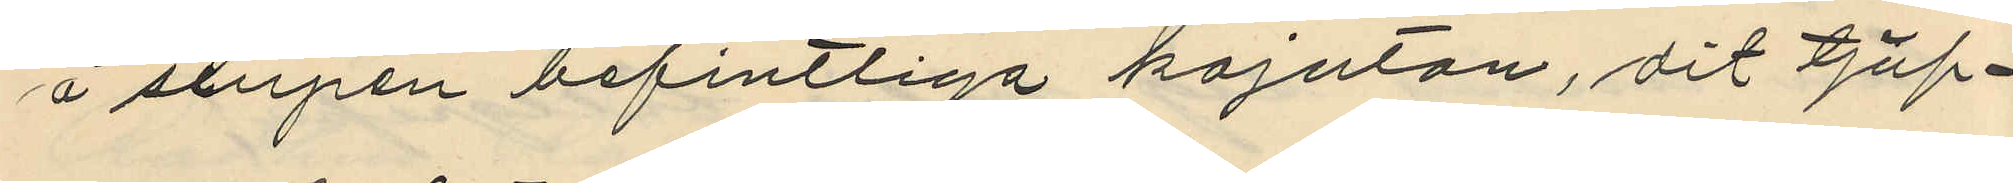å slupen befintliga kajutan, dit tjuf¬
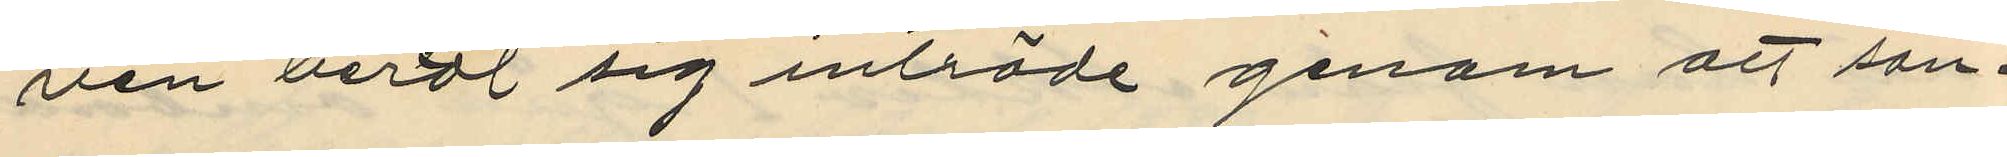ven berett sig inträde genom att sön¬
